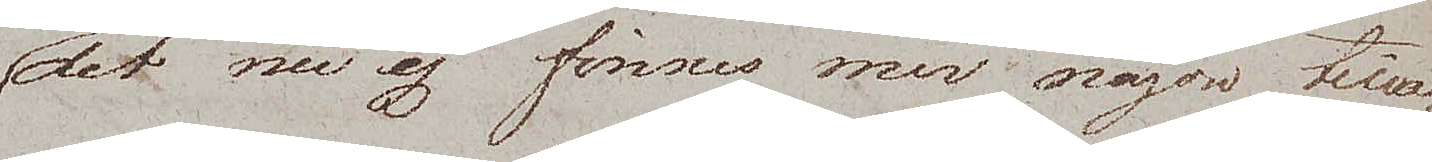det nu ej finnes mer någon tilla¬
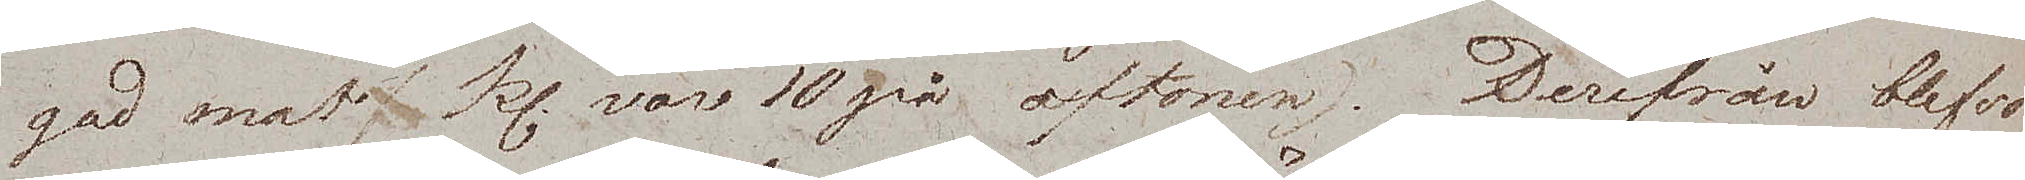gad mat. Kl. var 10 på aftonen. Derifrån blefvo
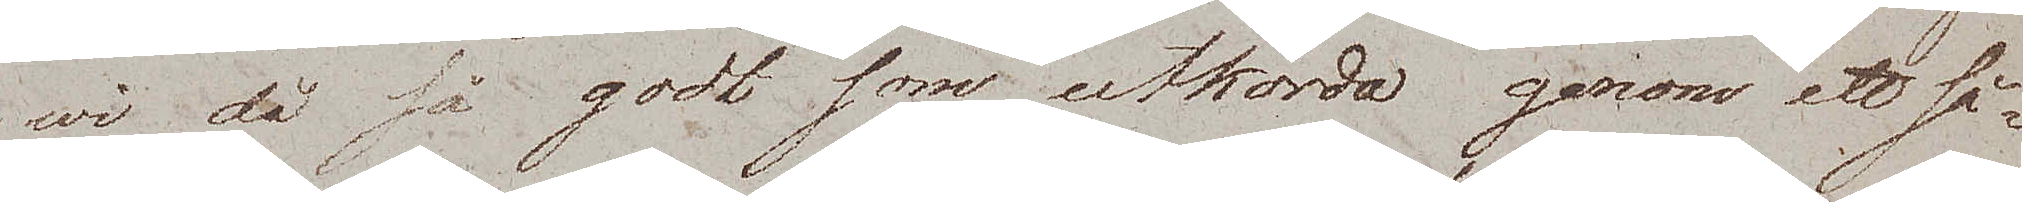wi då så godt som utkörda genom ett så¬
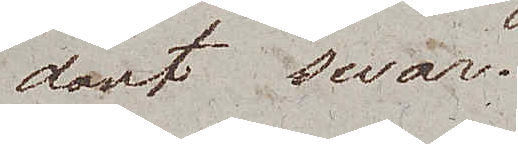dant swar.
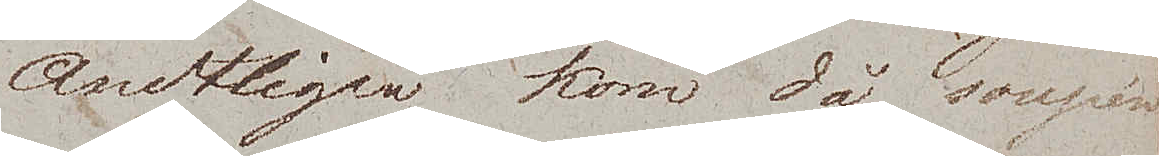Ändtligen kom då soupén
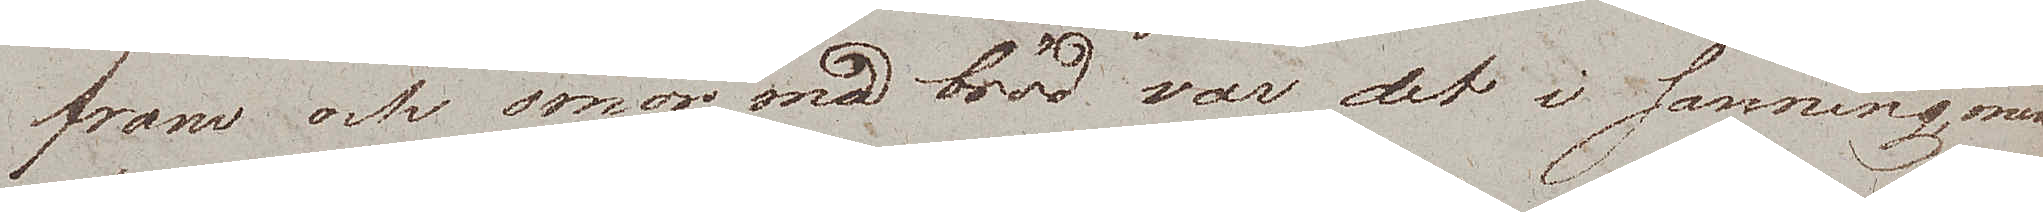fram och smör med bröd var det i sanning man
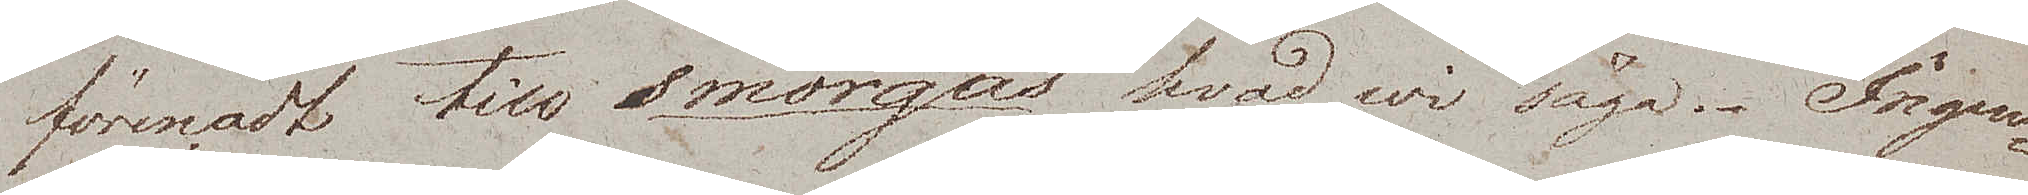förenadt till smörgås hvad wi säga. Ingen¬
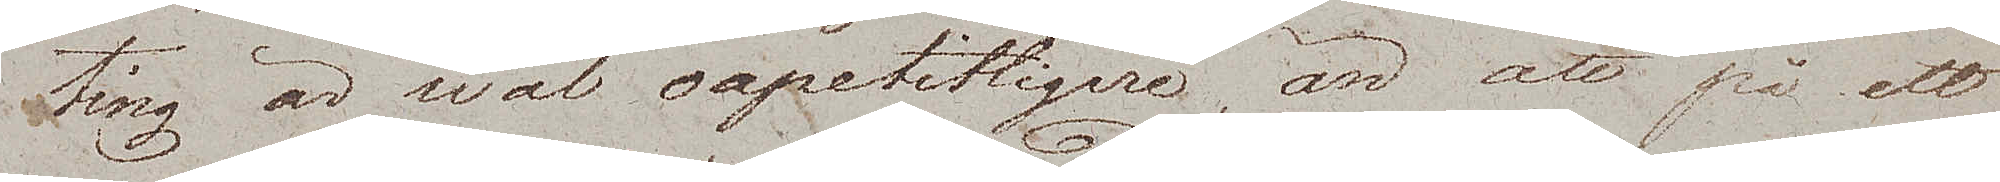ting är wäl oapetitligare, än att på ett
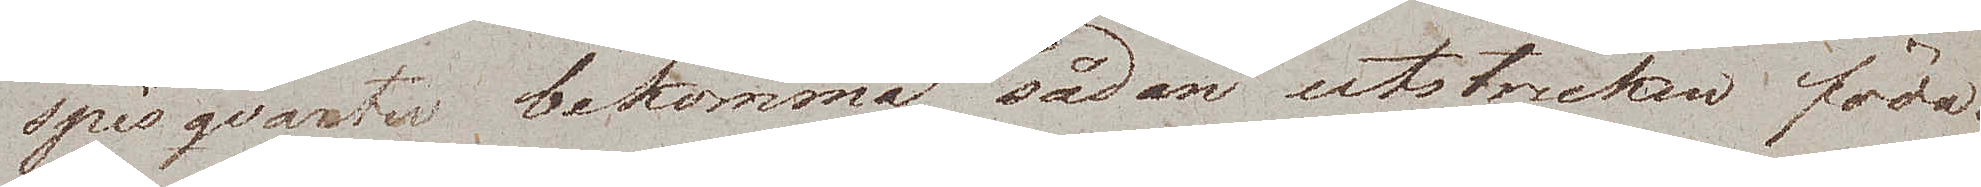spisqvarter bekomma sådan utstruken föda.
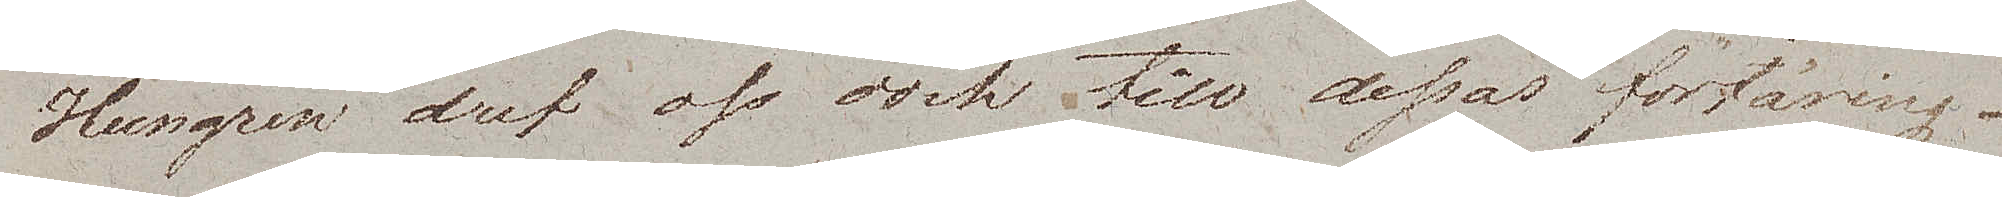Hungren dref oss dock till dessas förtäring –
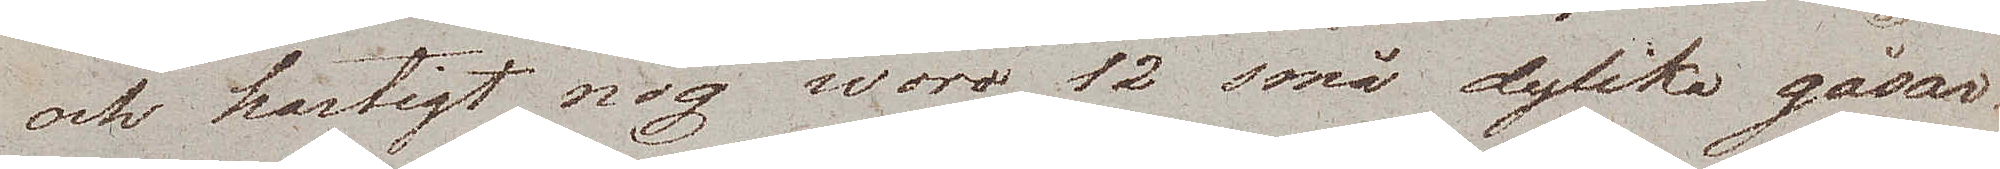och hastigt nog woro 12 små dylika gåsar.
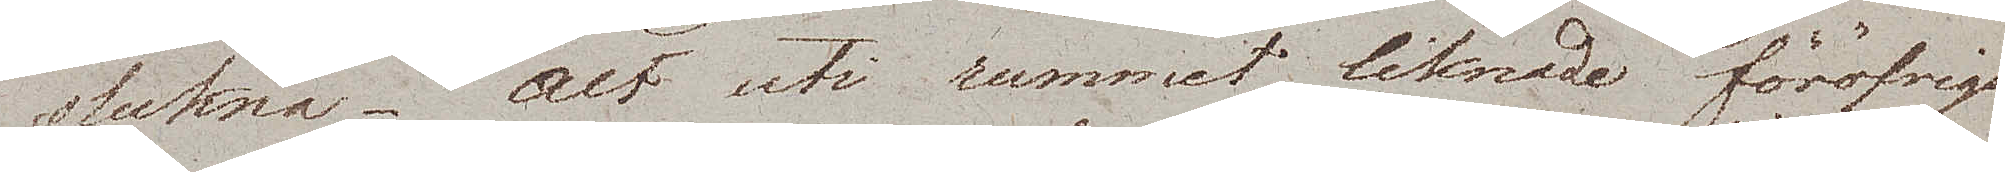slukna. Alt uti rummet liknade föröfrigt
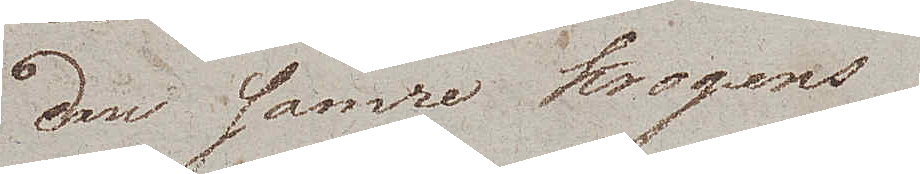den sämre krogens,
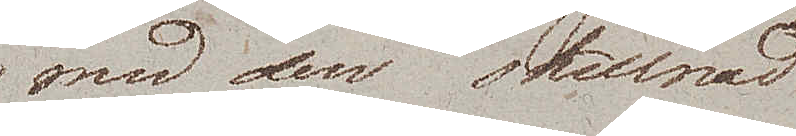med den skillnad
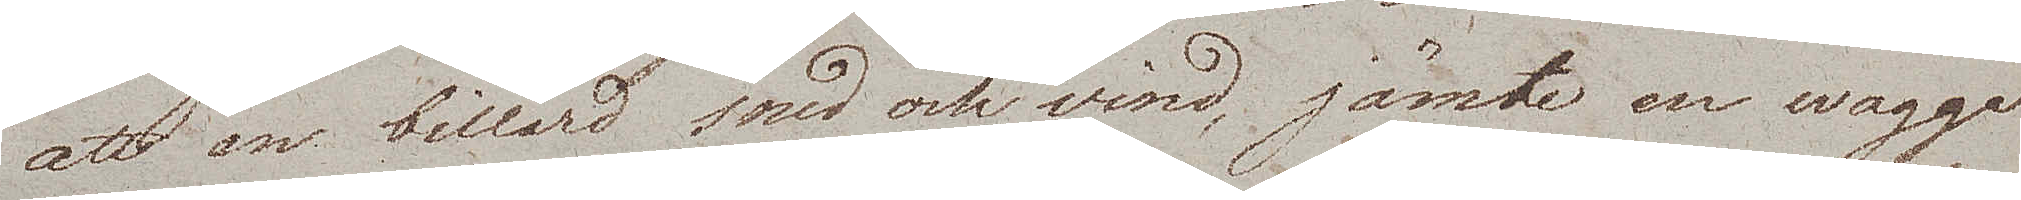att en billard sned och vind, jämte en wagga
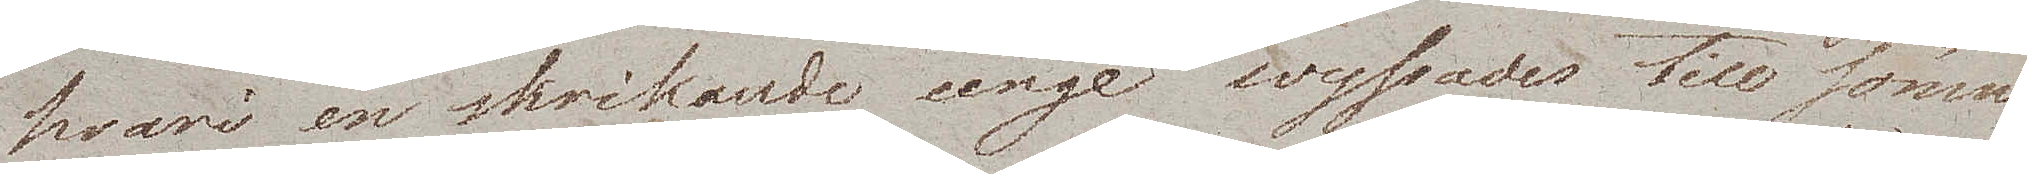hvari en skrikande unge wyssades till sömns
